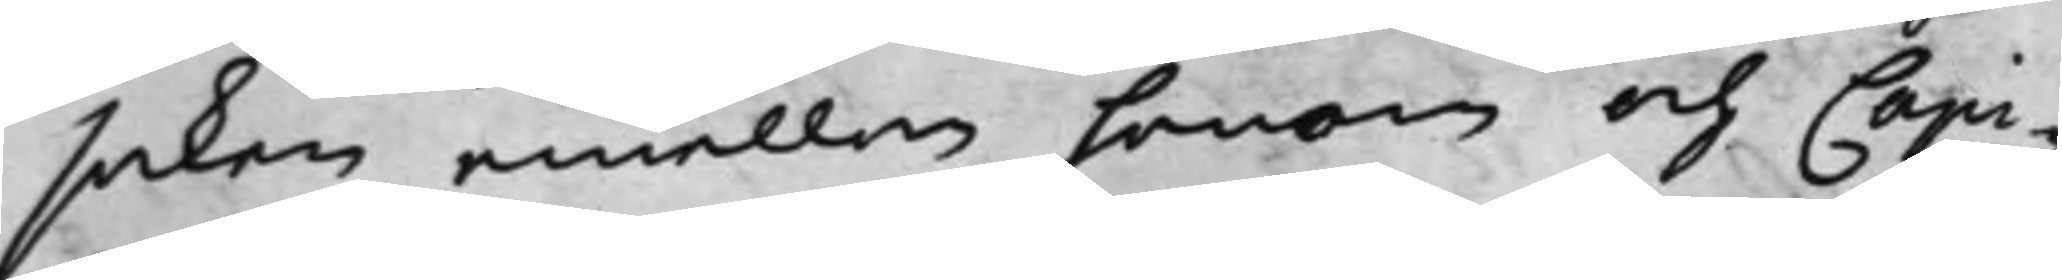saken emellan honom och Capi¬
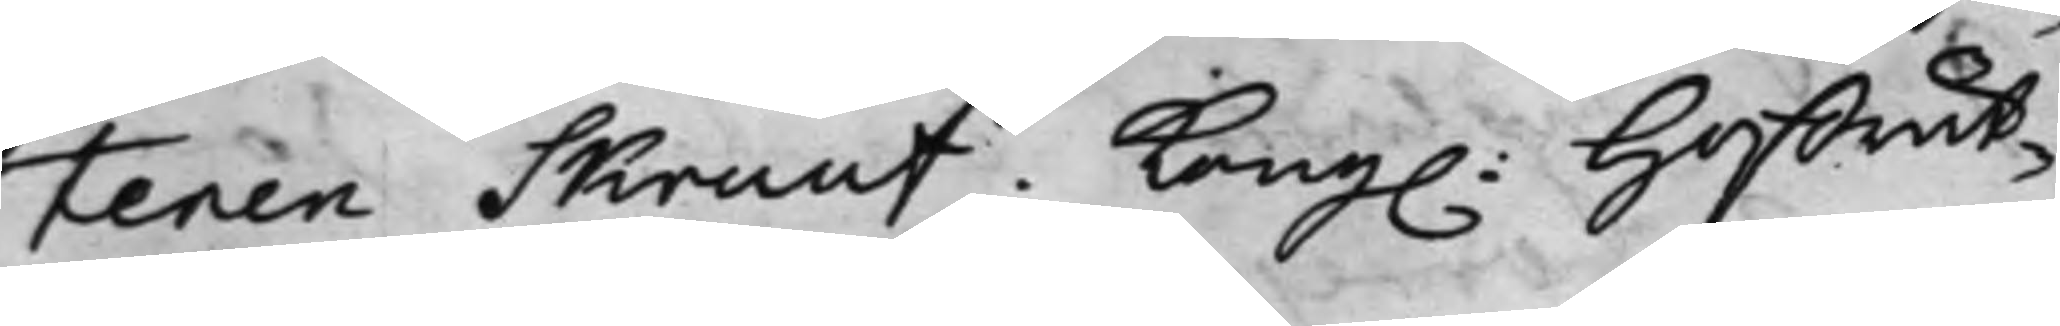tenen Skruuf. Kong: Hoffrät¬
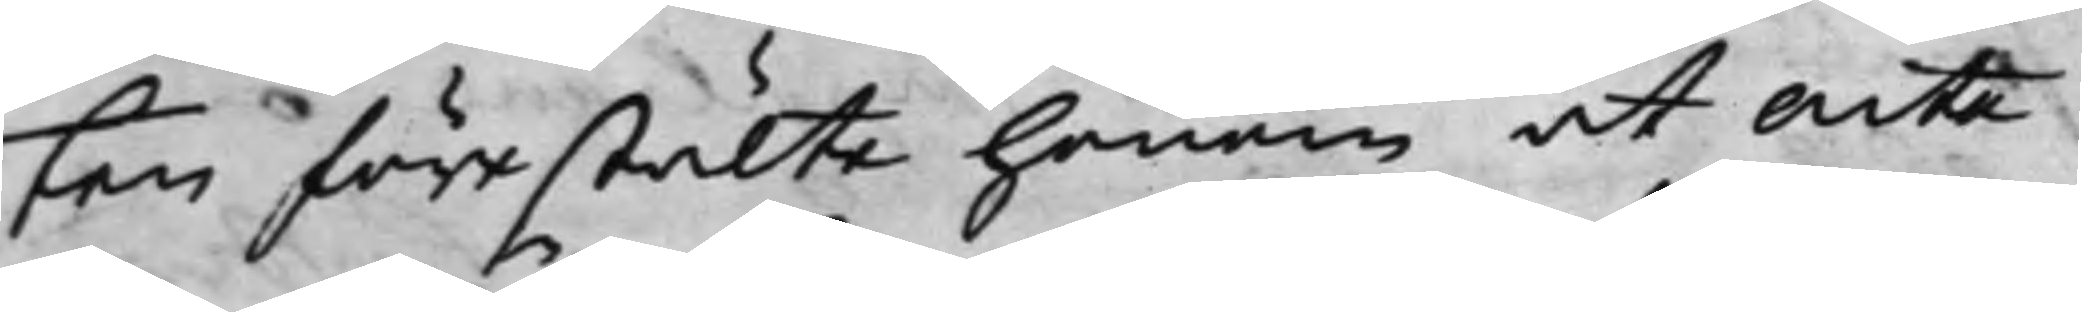ten förestälte honom at Acte
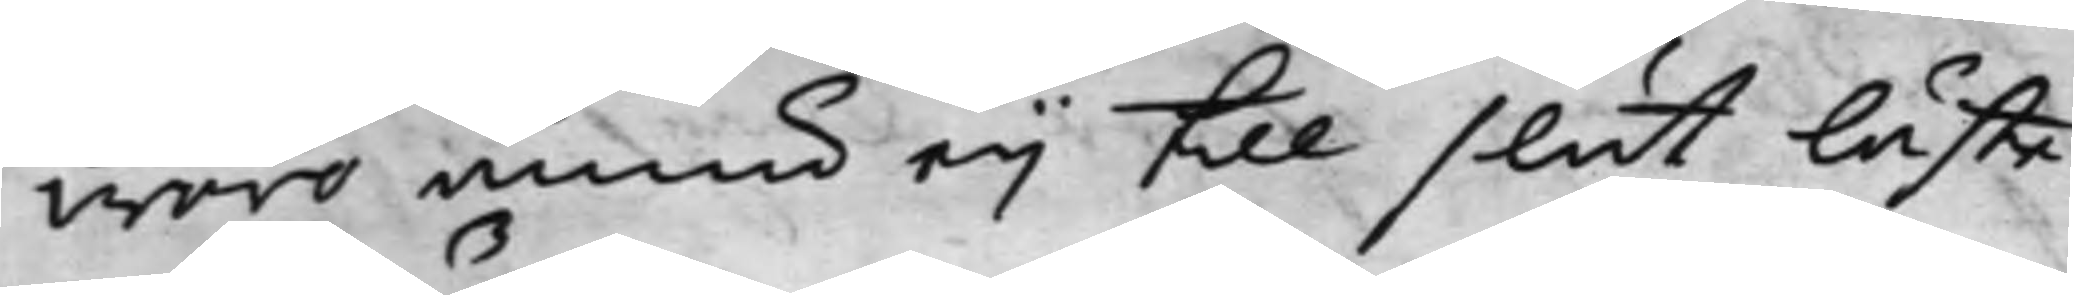woro ännu eij till slut läste.
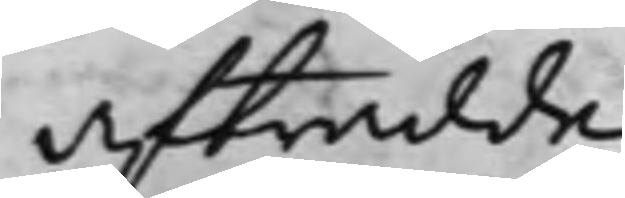Afträdde.
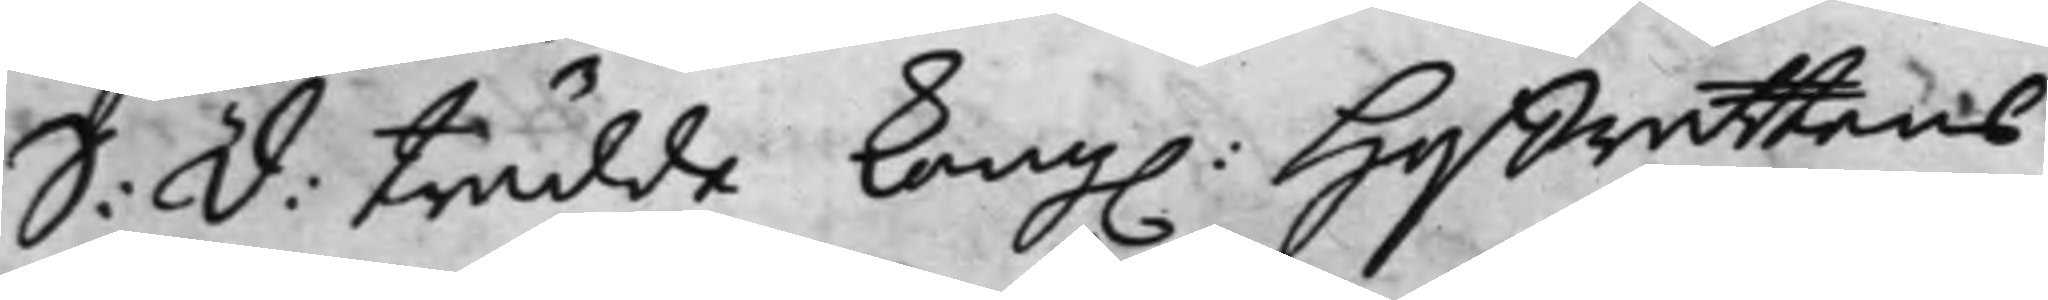S: d: trädde Kong: Hoffrättens
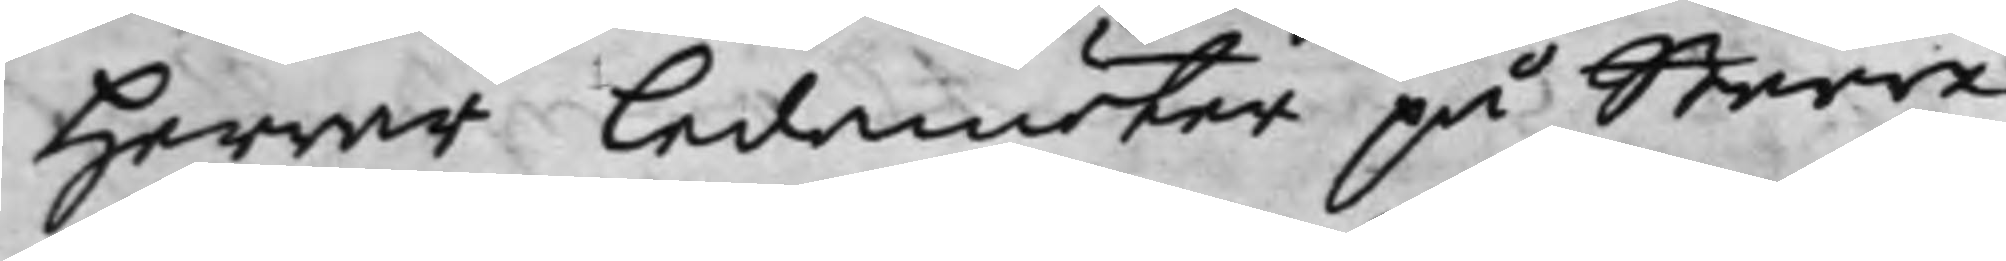Herrar Ledamöter på Större
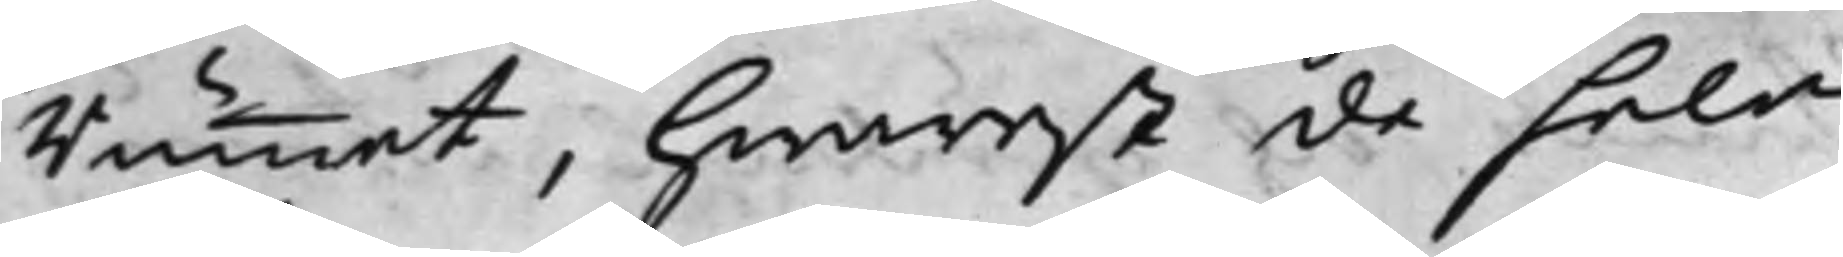Rummet, hwarest de hela
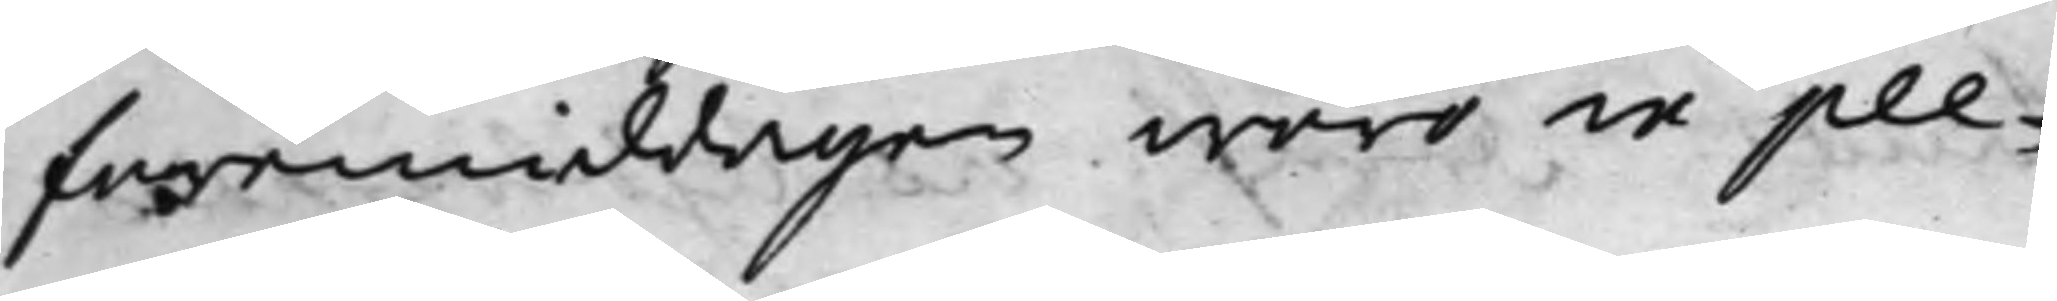förmiddagen woro in ple¬
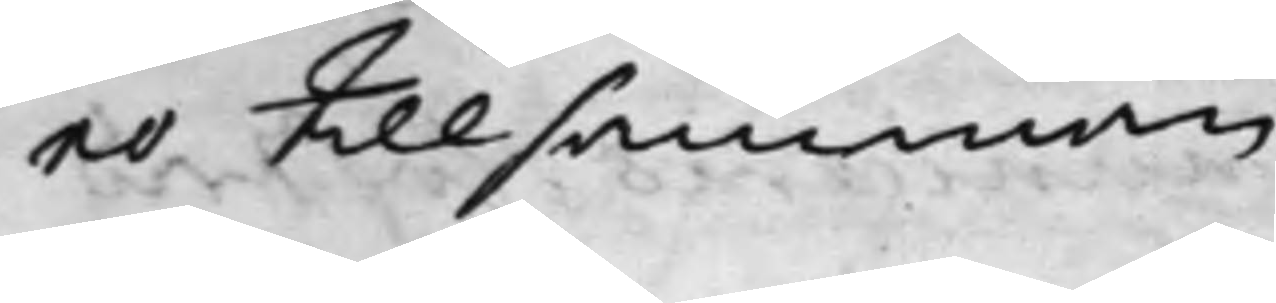no tillsamman.
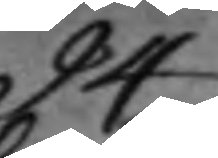94:
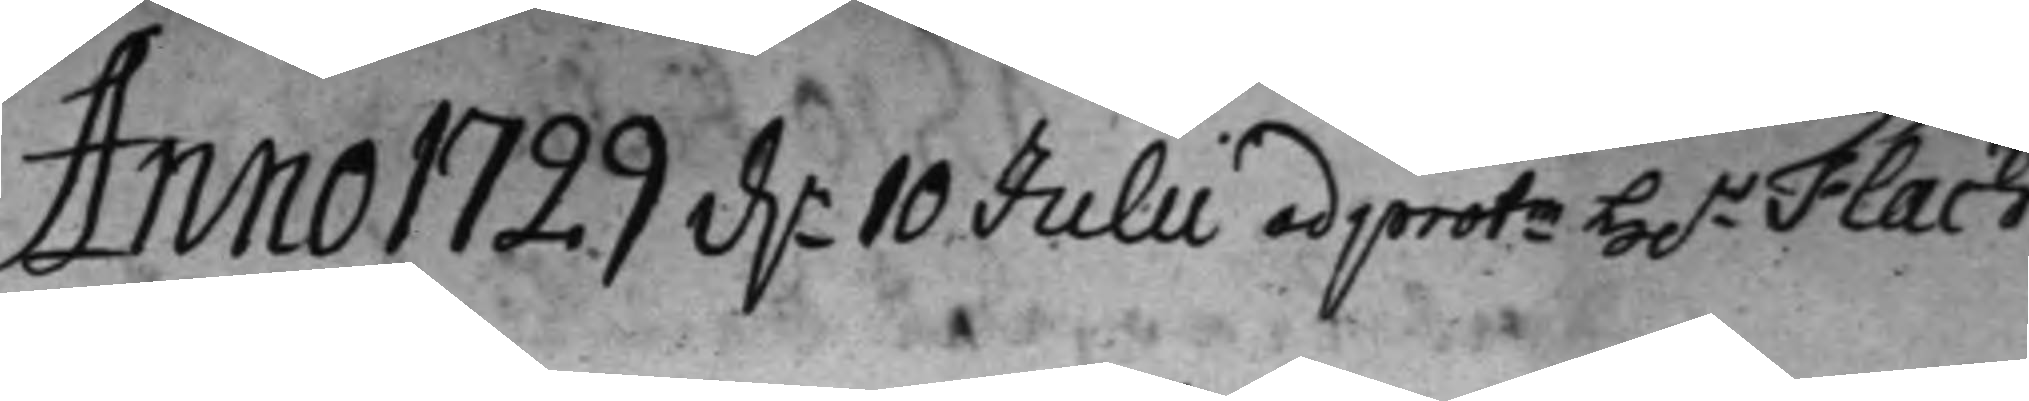Anno 1729 d. 10 Julii ad protm H.r Flach
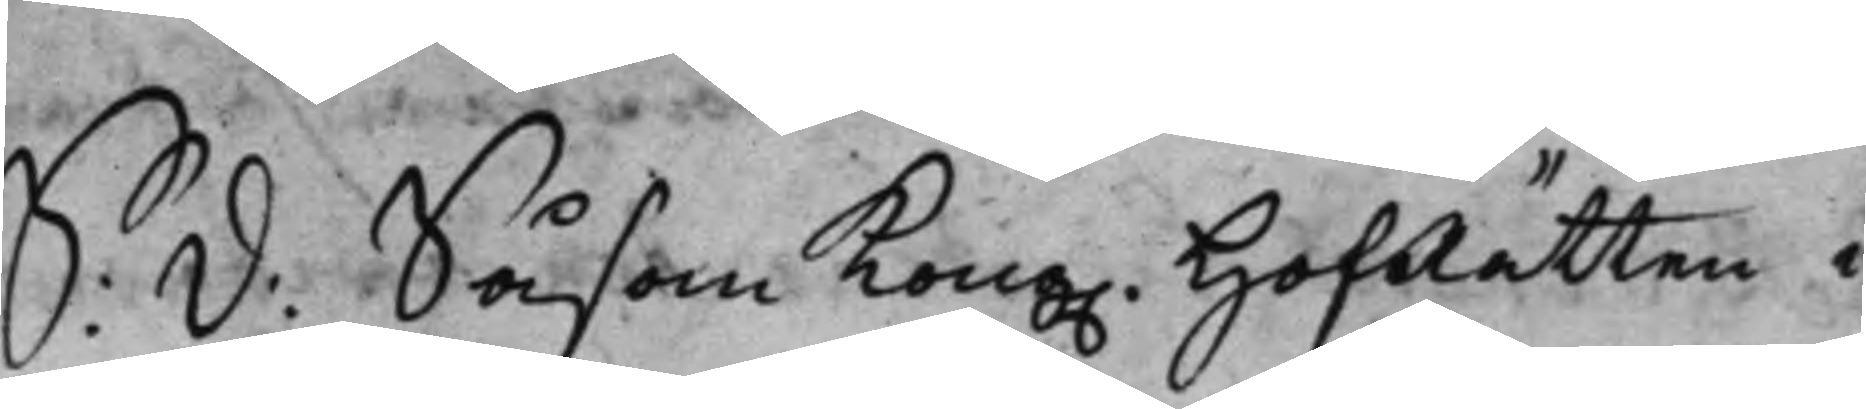S. d: Såsom Kong. HofRätten i
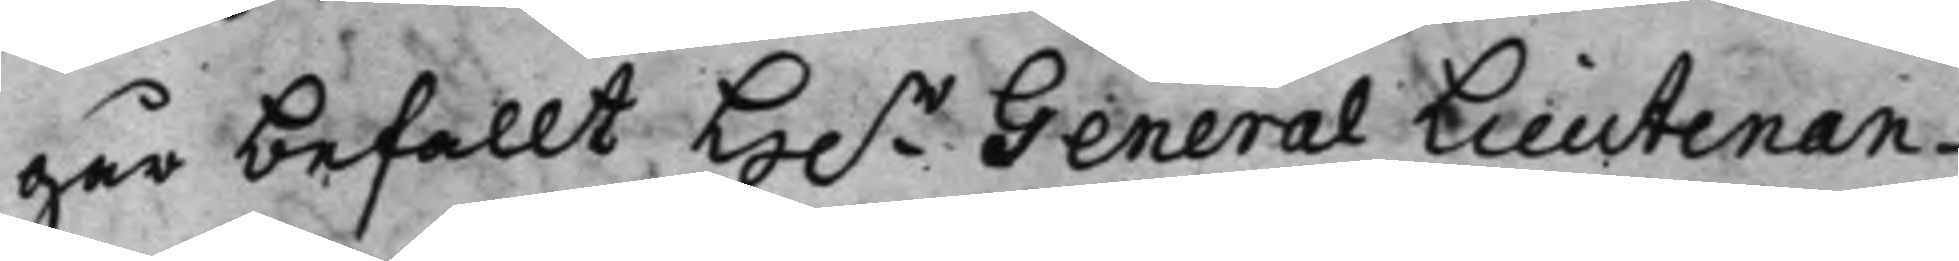går befallt H.r General Lieutenan¬
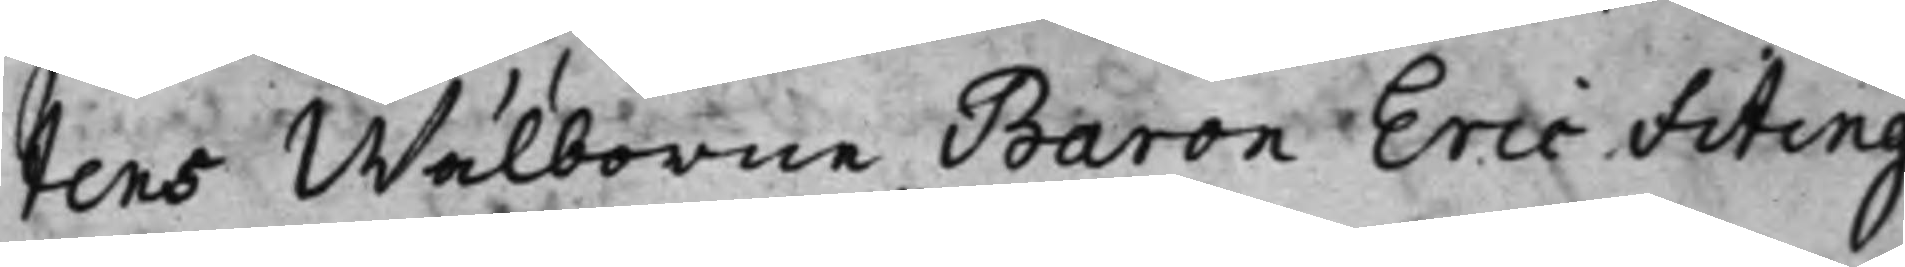tens Wälborne Baron Eric Fiting¬
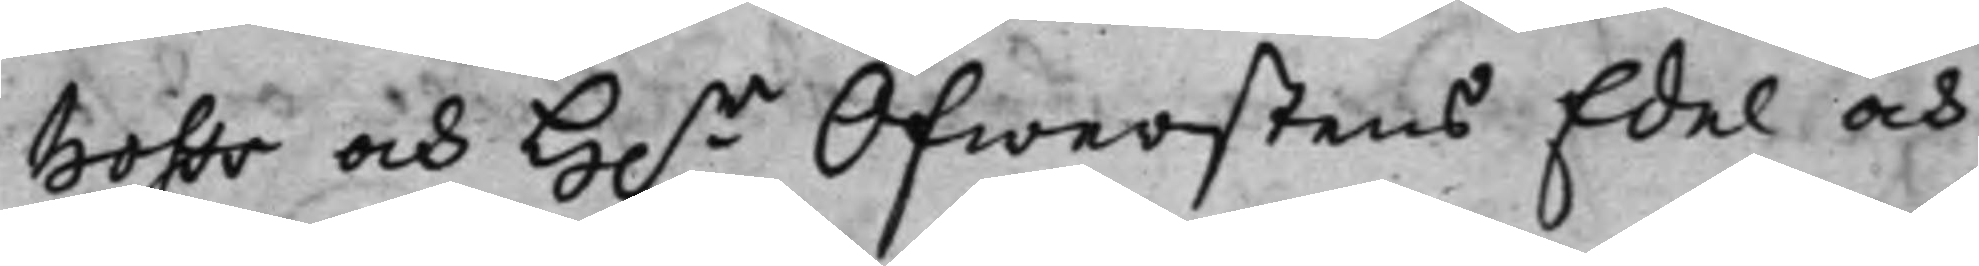hoffs och H.r Öfwerstens Edel och
